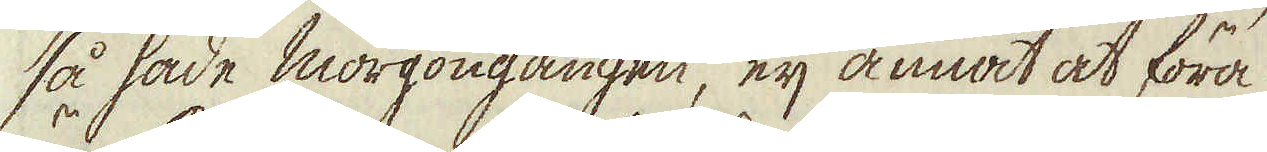så hade morgongången, eij annat at föra
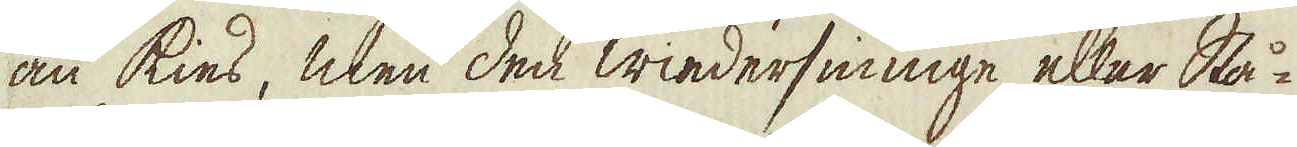an kies, men den wiedersinnige eller Stå-
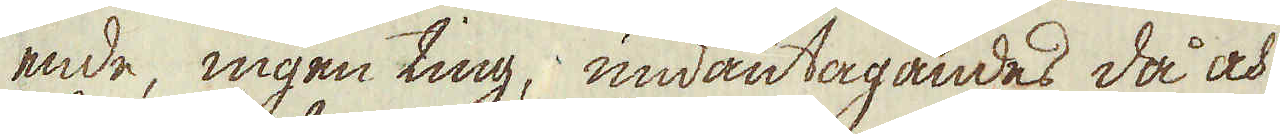ende, ingen ting, undantagandes då och
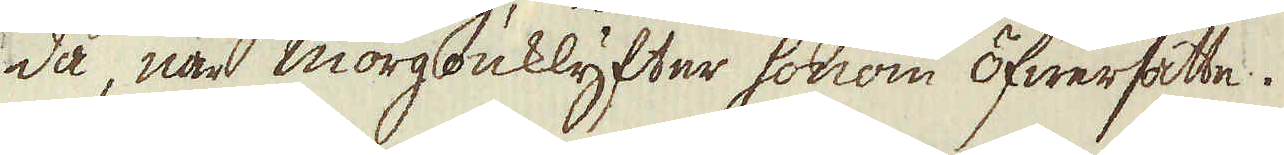då, när morgonklyfter honom öfwersatte.
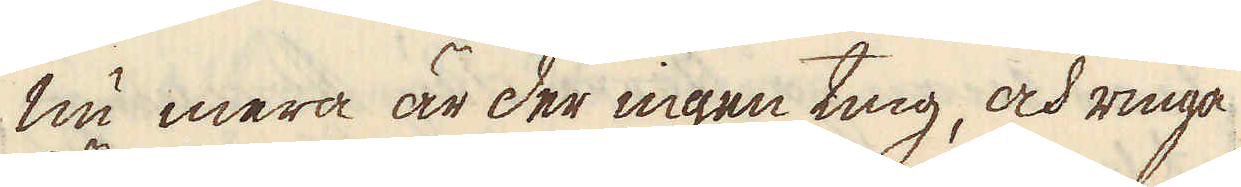Nu mera är der ingen ting, och ringa
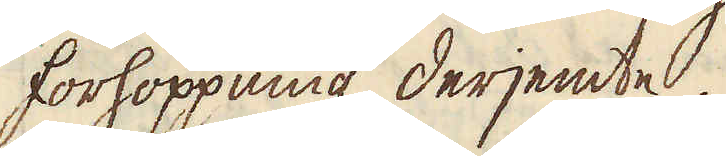förhoppning derjemte.
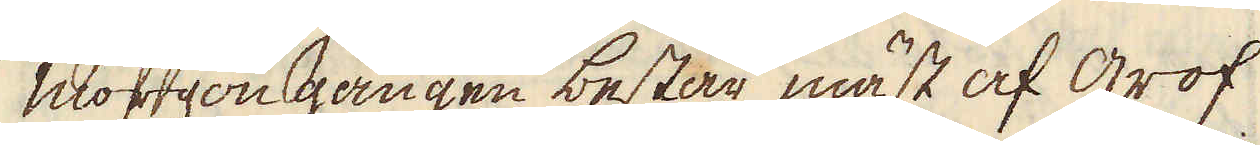Morgon gången består mäst af grof
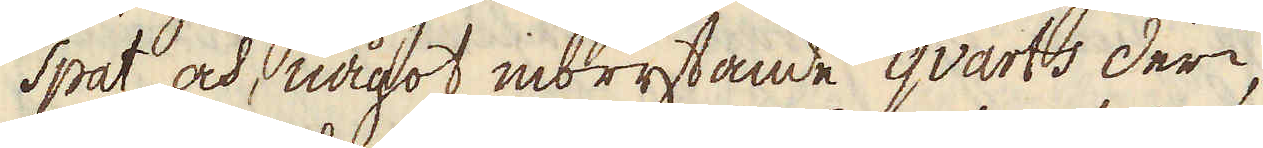spat och, något inbrytande qvarts deri,
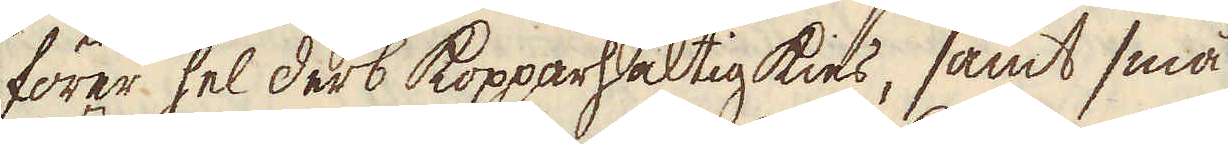förer hel derb kopparhaltig kies, samt små
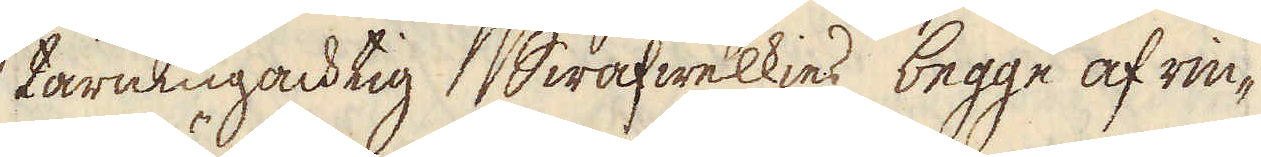tärningachtig Swafwelkies begge af rin-
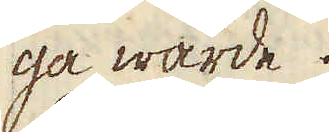ga wärde.
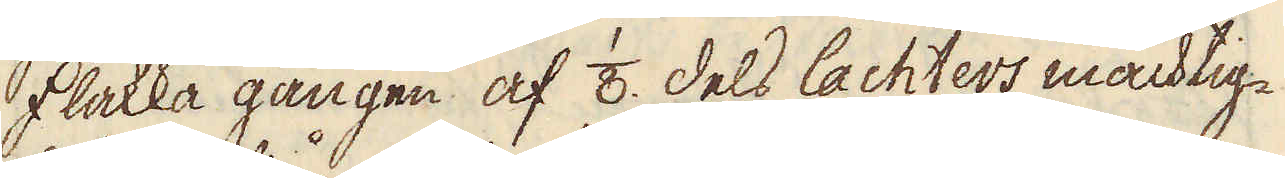Flakka gången af 1/8. dels lachters mächtig-
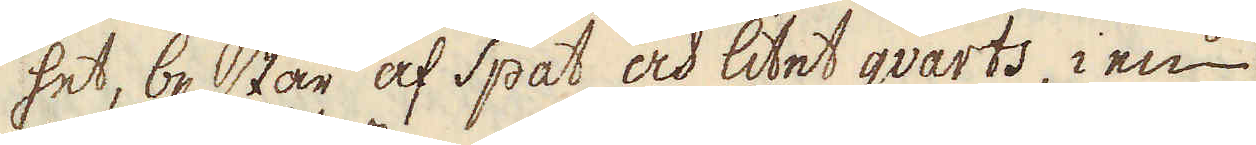het, består af spat och litet qvarts i en
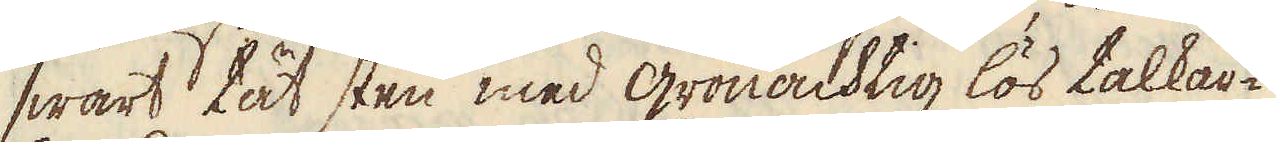swart tät sten med grönachtig lös talkar-
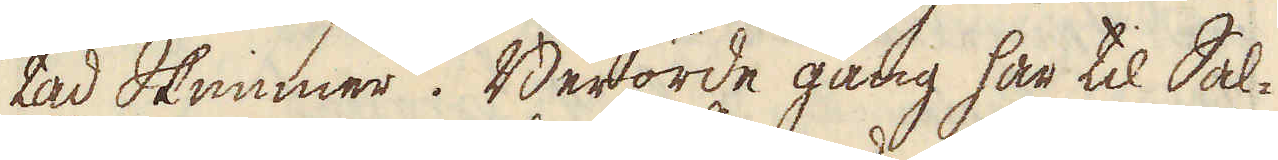tad Skimmer. Berörde gång har til Sal-
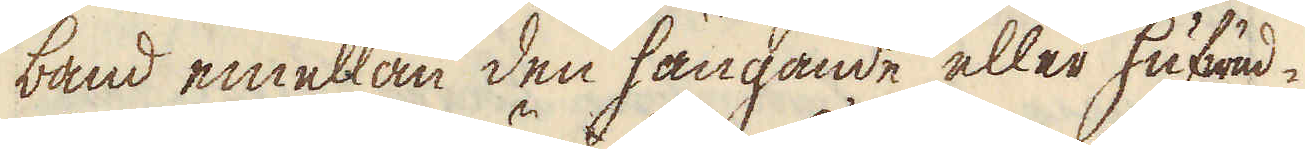band emellan den hängande eller hufwud-
